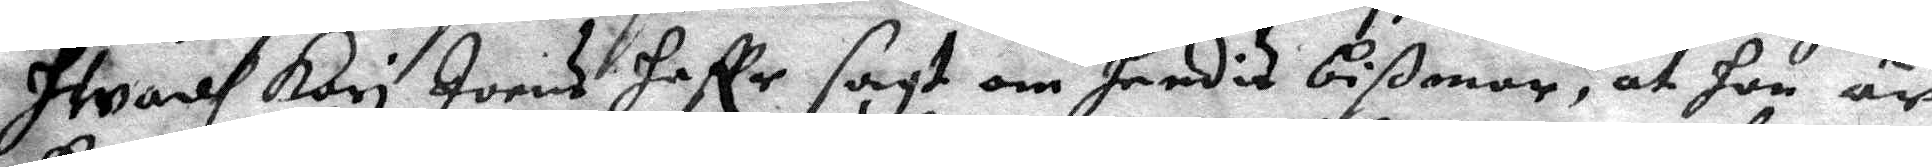Hwadh Kari Joens haffr sagt om hendis bißmor, at hon är
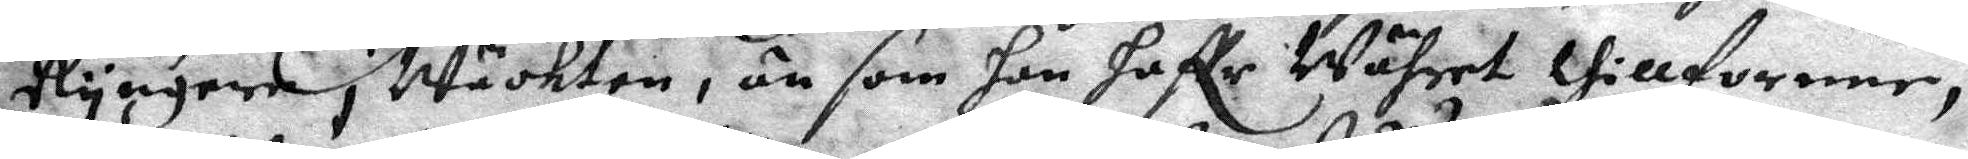Ryngera i Wäckten, än som hon haffe Währet thillförene,
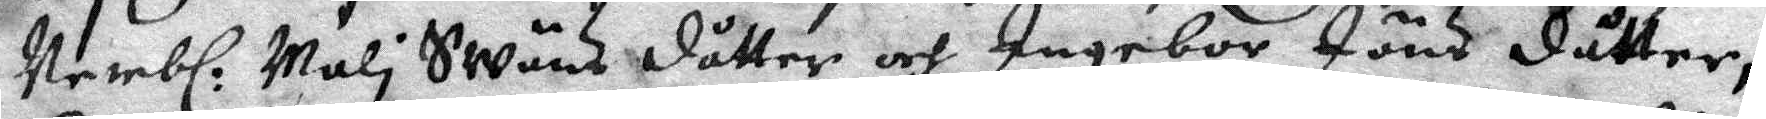Nembl: Mali Swäns dåtter och Ingebor Jöns dåtter, 
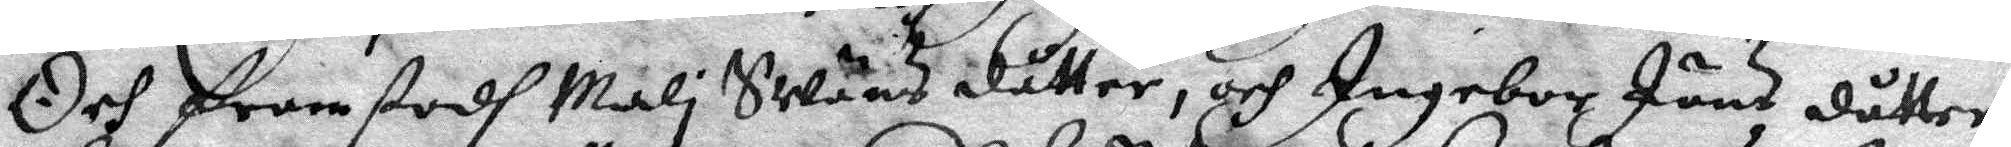Och framstodh Mali Swänsdåtter, och Ingebor Jöns dåtter
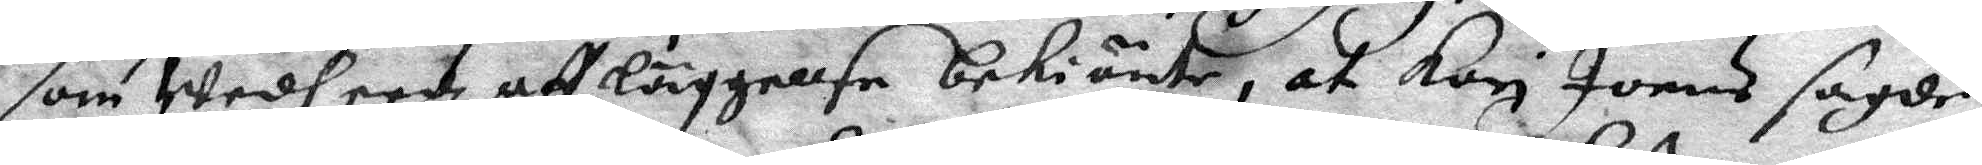som Wedh eedz aff läggelse bekiänte, at Kari Joens sagde
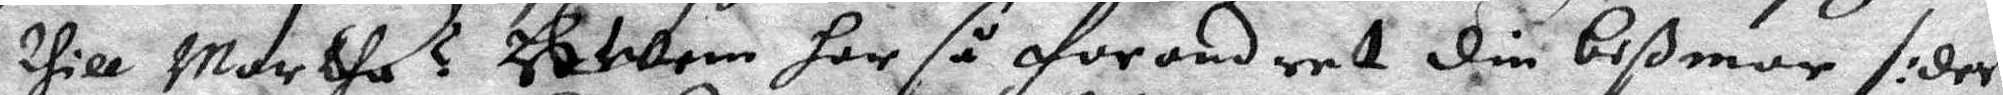thill Martha ? HWen har så forandret din bißmor /:der
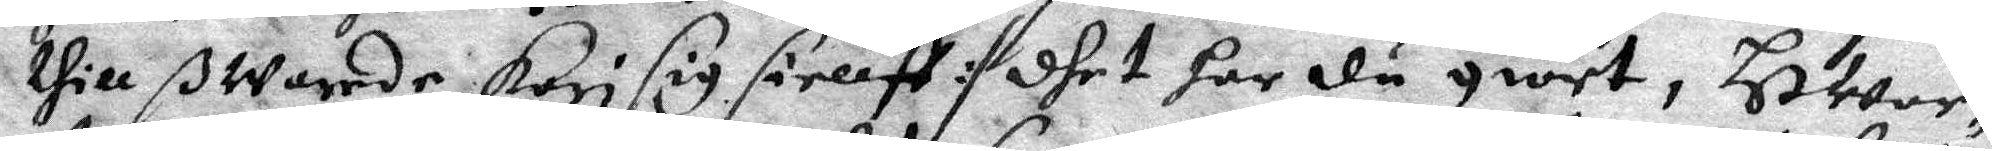thill ßwarede KarI sig sielff :/ dhet har du giort, HWar¬
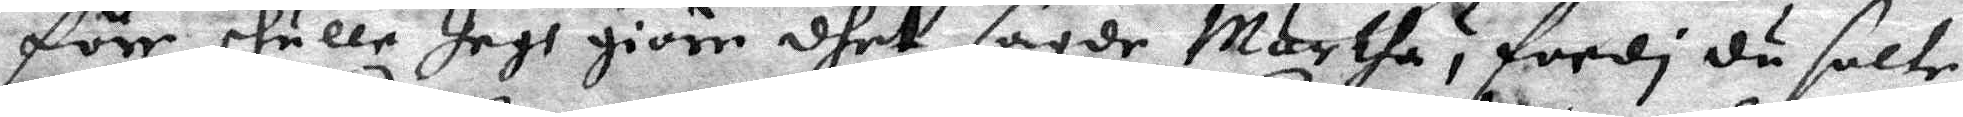före skulle Jagh giöre dhet sagde Martha ? fordi du salte
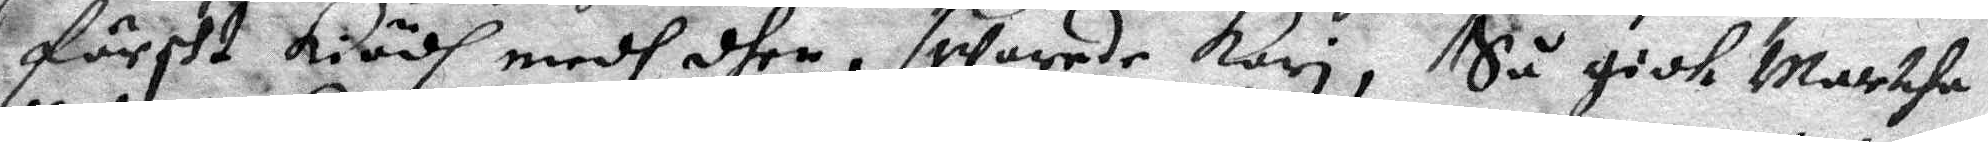färskt kiödh medh dhen, swarede Kari, Så gick Martha
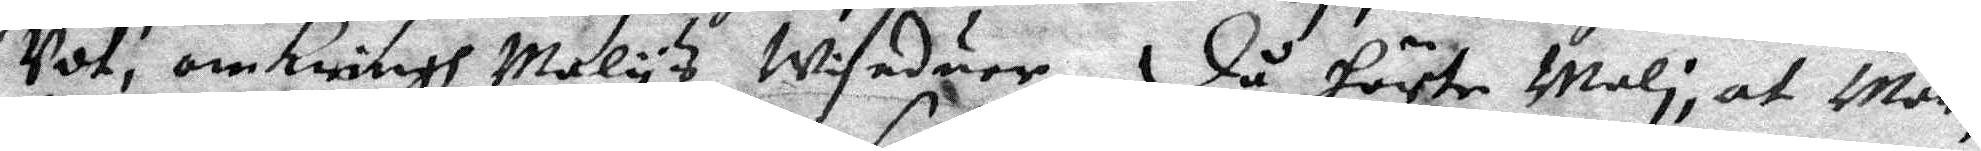Udt, omkringh Malys Wiseduer, då hörte Mali, at Mar¬
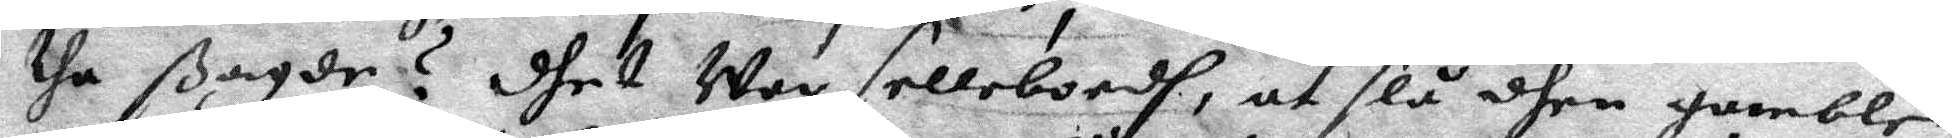the ßagde? dhet War sellebordh, at slå dhen gamble
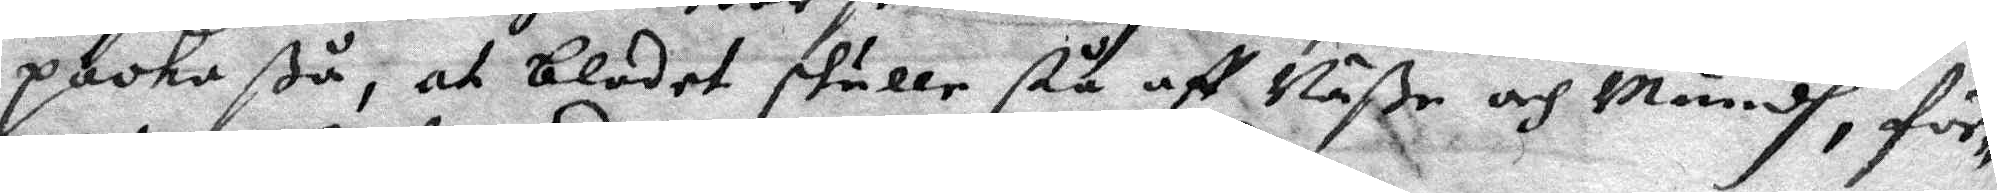packa ßå, at blodet skulle stå aff Näße och Mundh, för¬
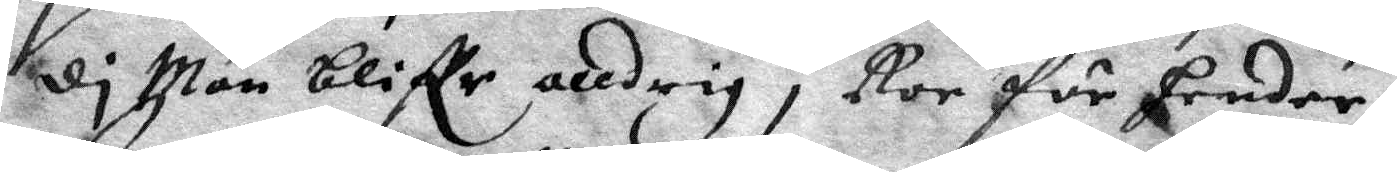di Man bliffr alldrig i Ror för hender,
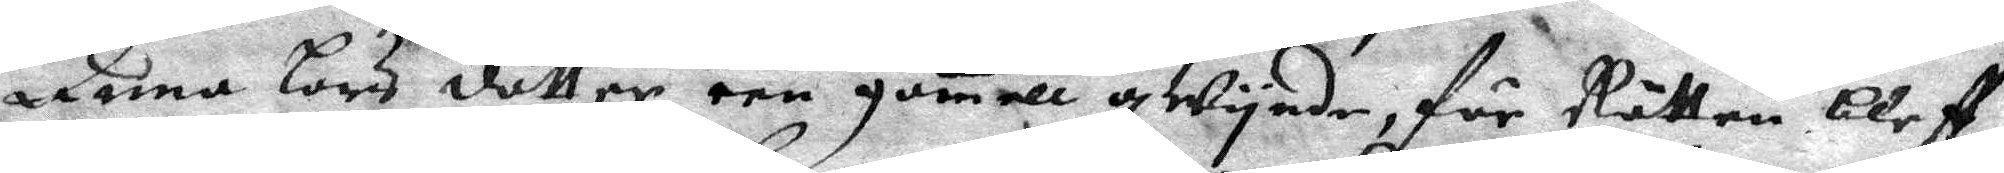Anna Lars dåtter een gamell qWynde, för Rätten bleff
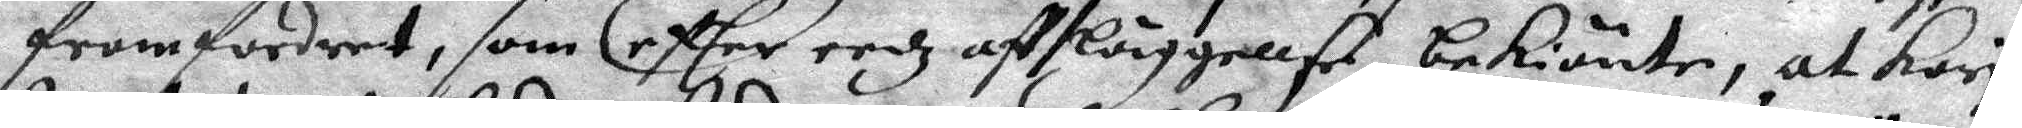framfordret, som eftter eedz affläggellse bekiänte, at Kari
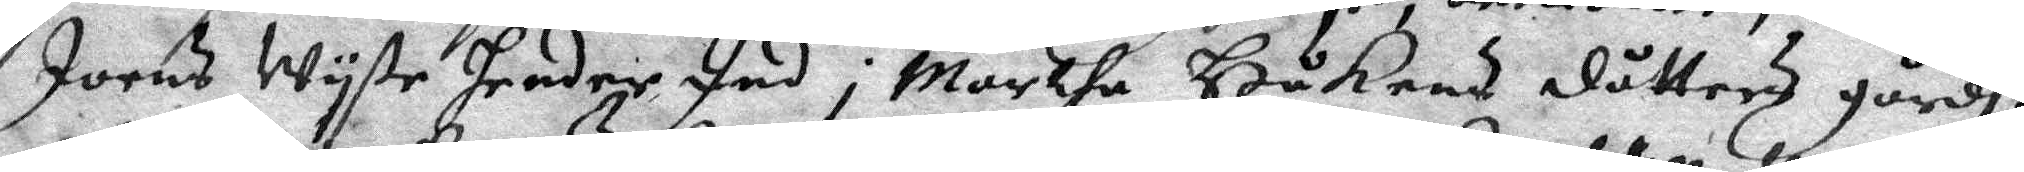Joens Wyste hender Ind i Martha Håkens dåtters gårdh,
